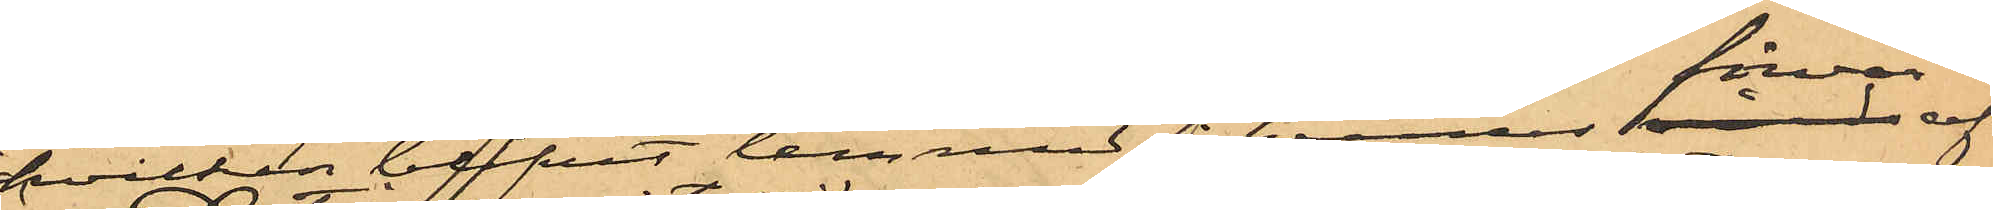hvilken blifvit lemnad i hennes förvar af
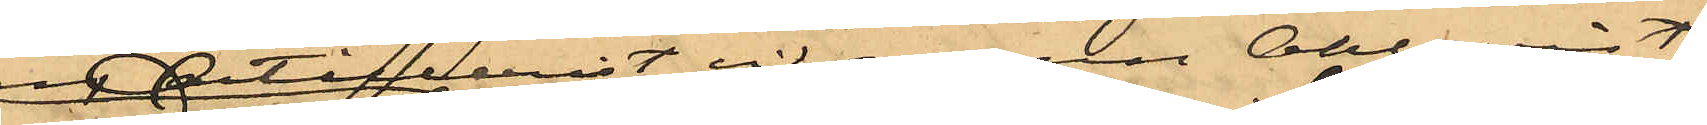en artillerist vid namn Ahlqvist
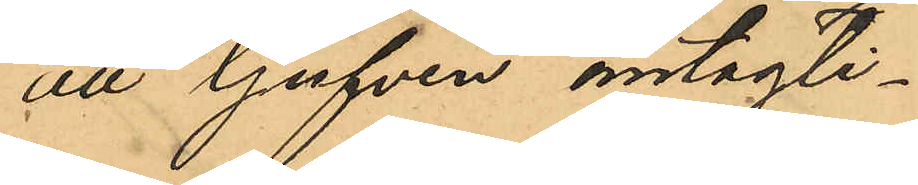att tjufven antagli¬
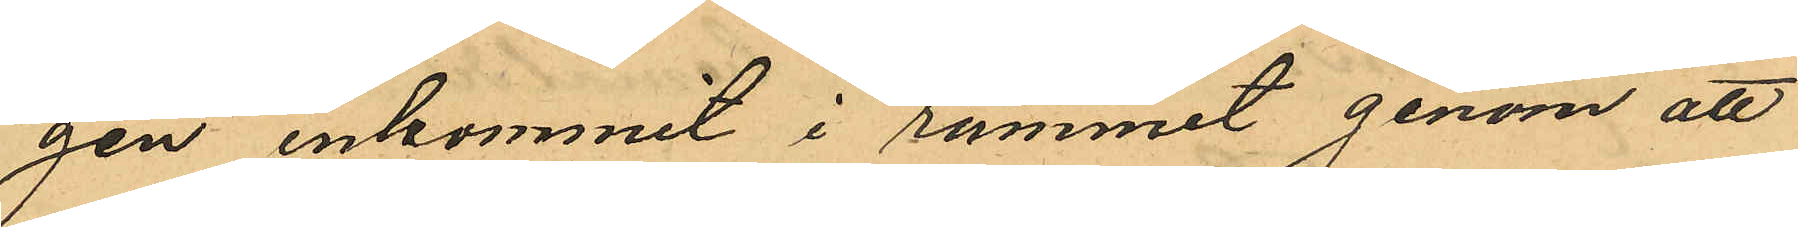gen inkommit i rummet genom att
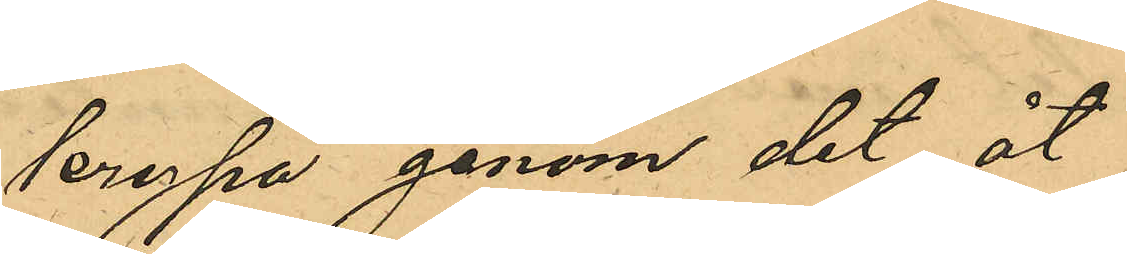krypa genom det åt
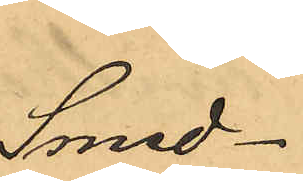smed¬
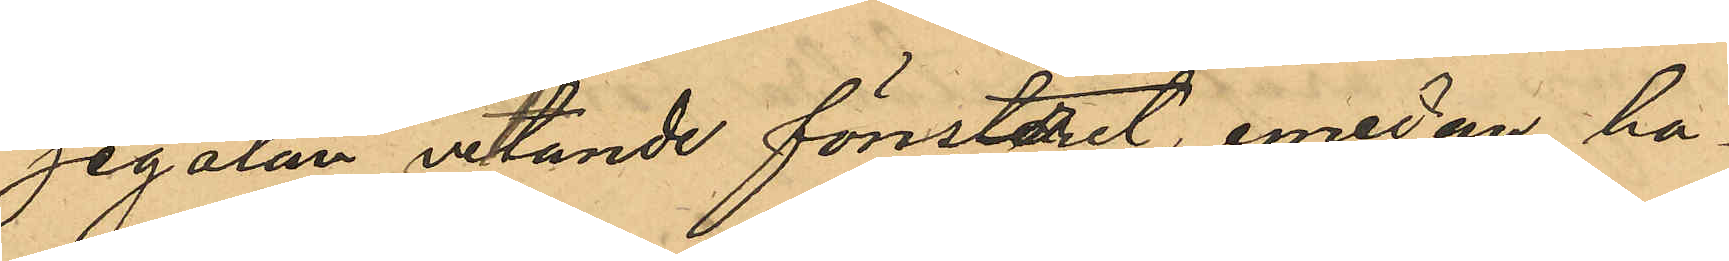jegatan vettande fönstret, emedan ha¬
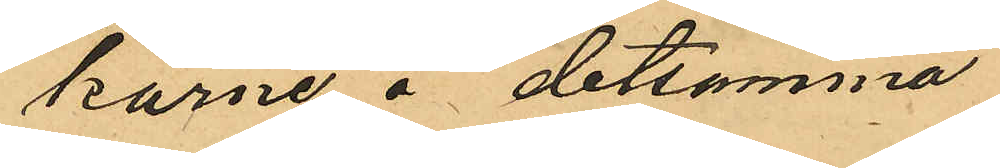karne å detsamma
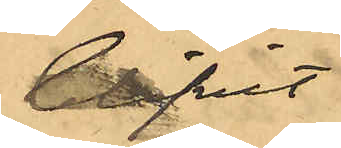blifvit
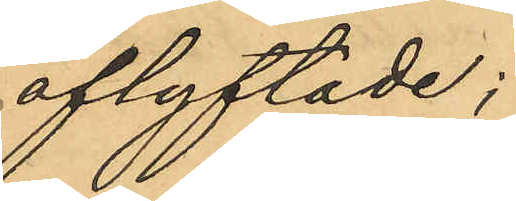aflyftade;
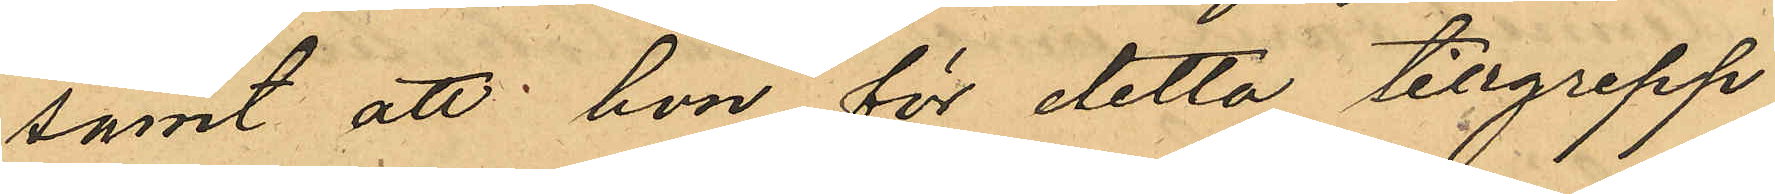samt att hon för detta tillgrepp
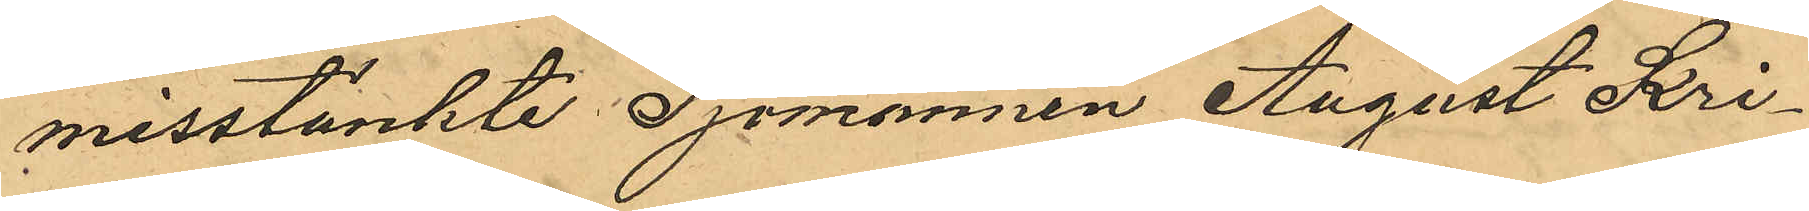misstänkte Sjömannen August Kri¬
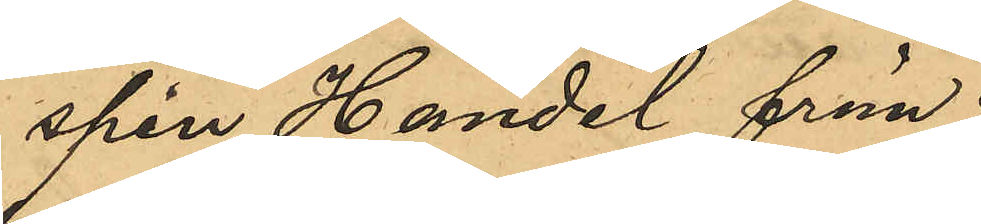spin Händel från
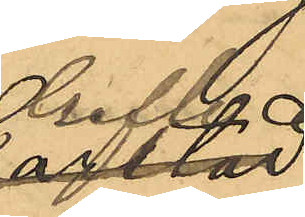Gefle,
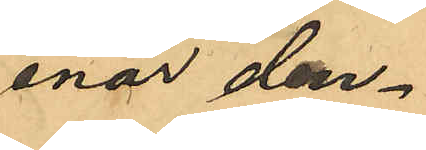enär den¬
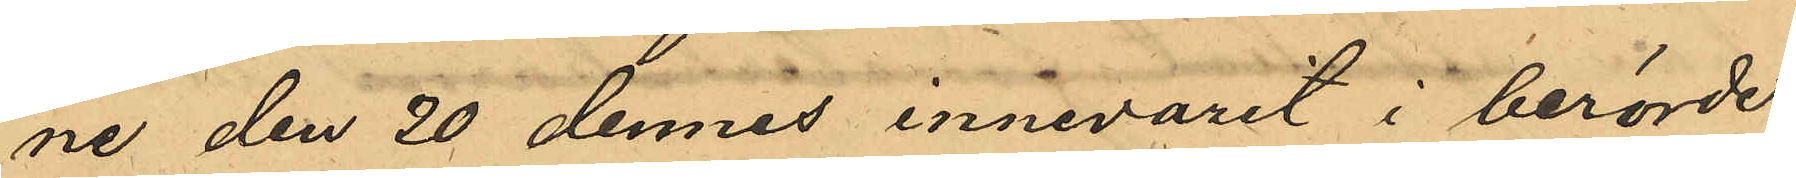ne den 20 dennes innevarit i berörde
